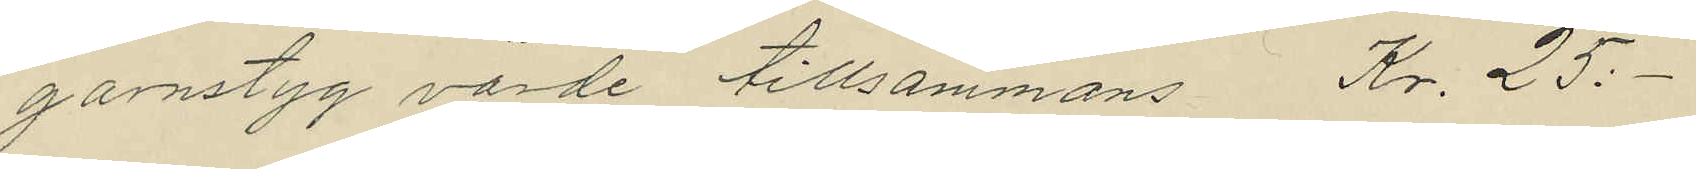garnstyg värde tillsammans Kr. 25:-
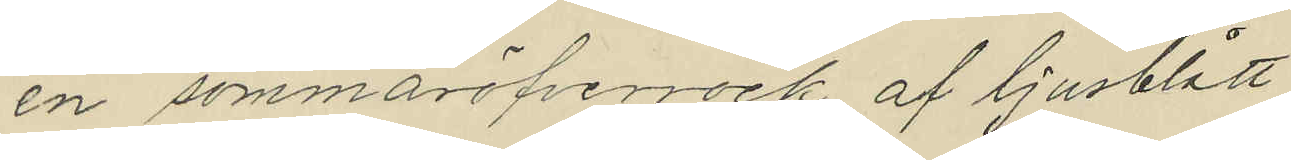en sommaröfverrock af ljusblått
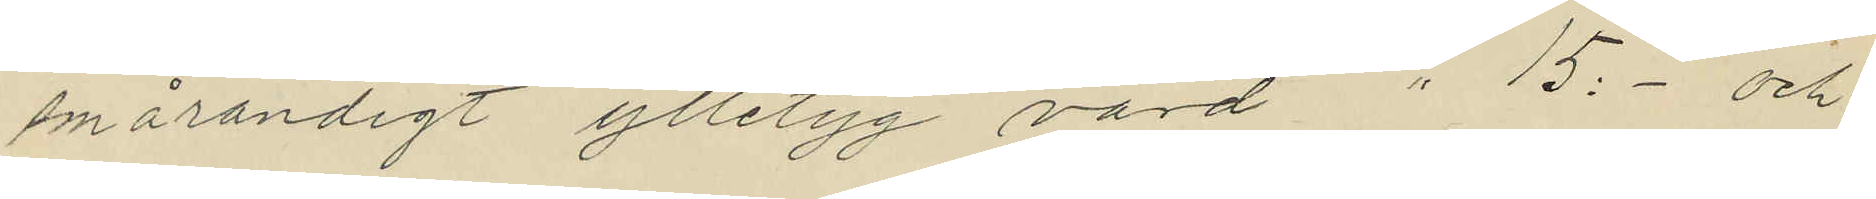smårandigt ylletyg värd " 15:- och
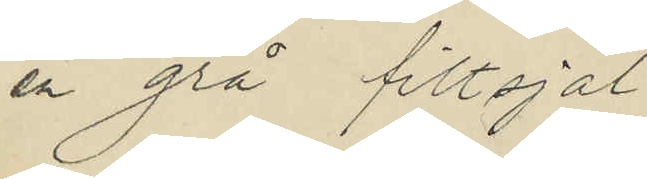en grå filtsjal
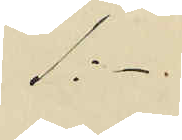1:-
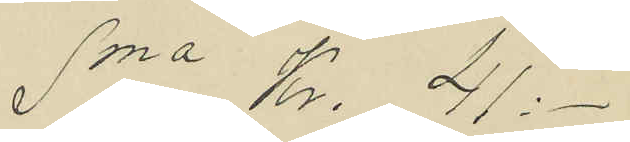Sma Kr. 41:-
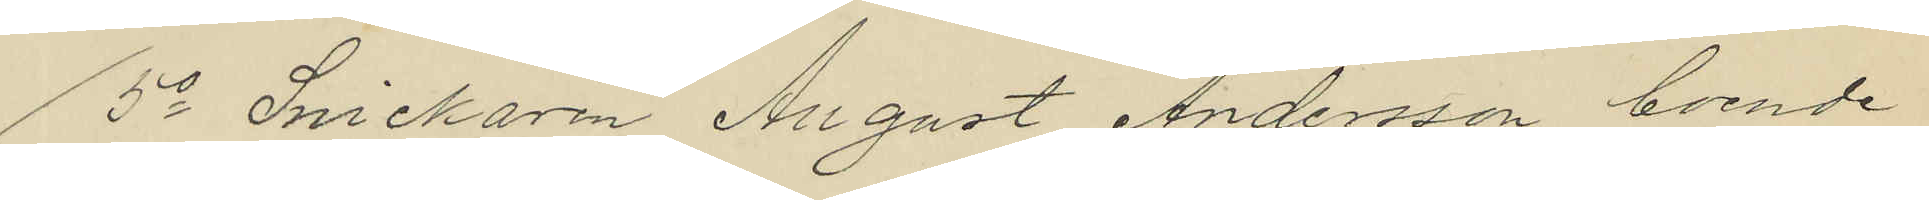5o Snickaren August Andersson boende
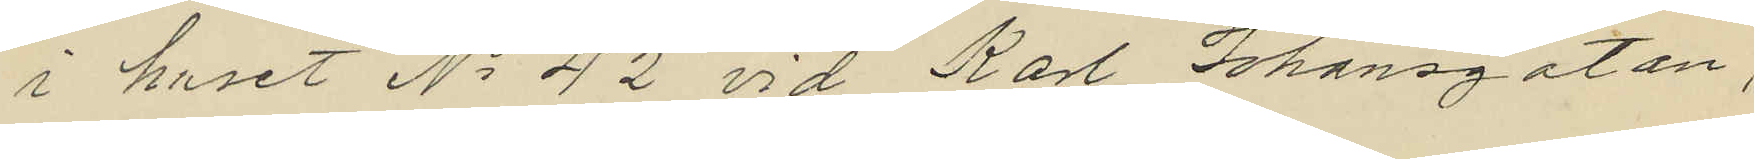i huset No 42 vid Karl Johansgatan,
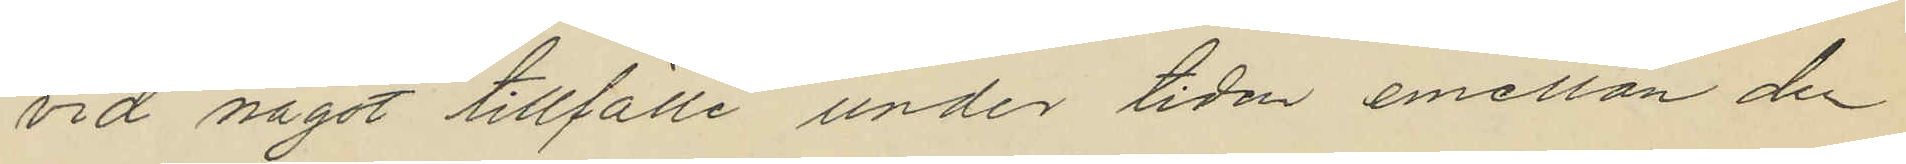vid något tillfälle under tiden emellan den
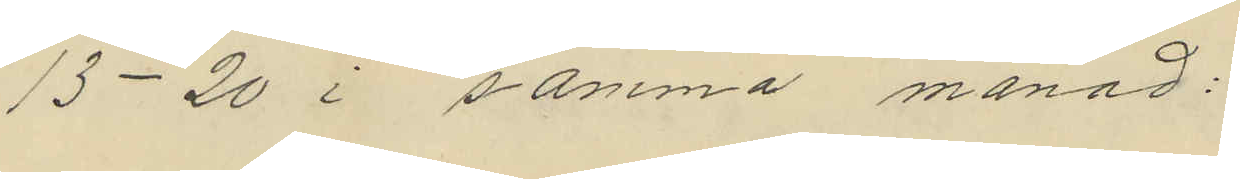13-20 i samma månad:
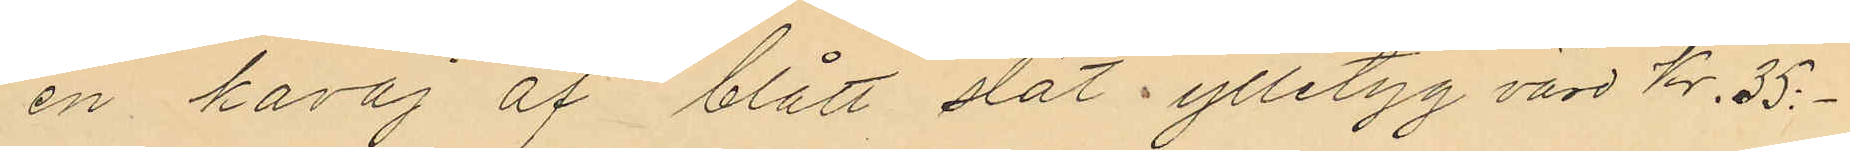en kavaj af blått slät ylletyg värd Kr. 35:-
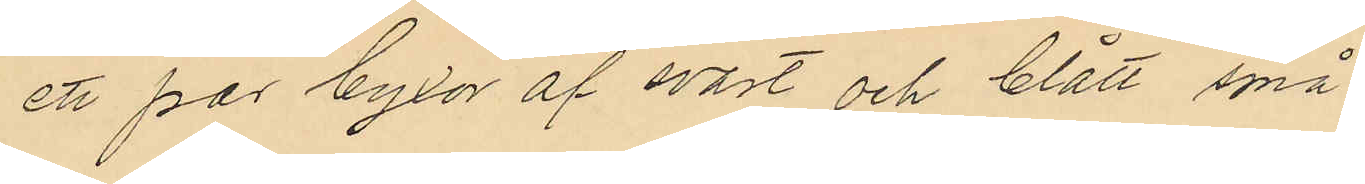ett par byxor af svart och blått små
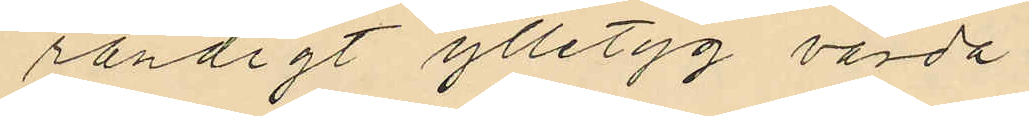randigt ylletyg värda
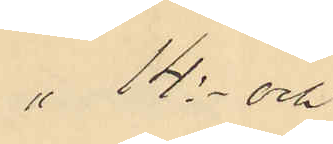" 14:- och
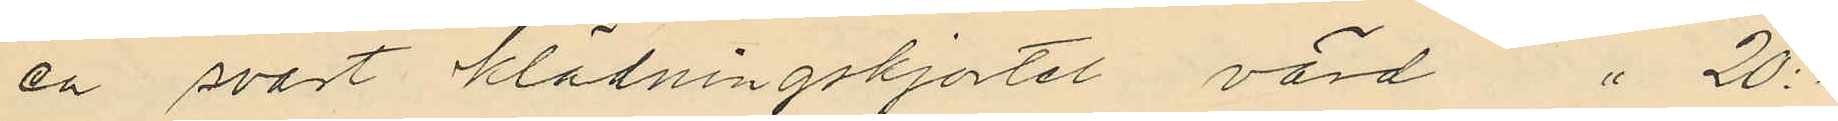en svart klädningskjortel värd " 20:-
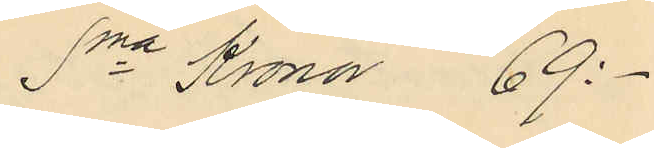Sma Kronor 69:-
